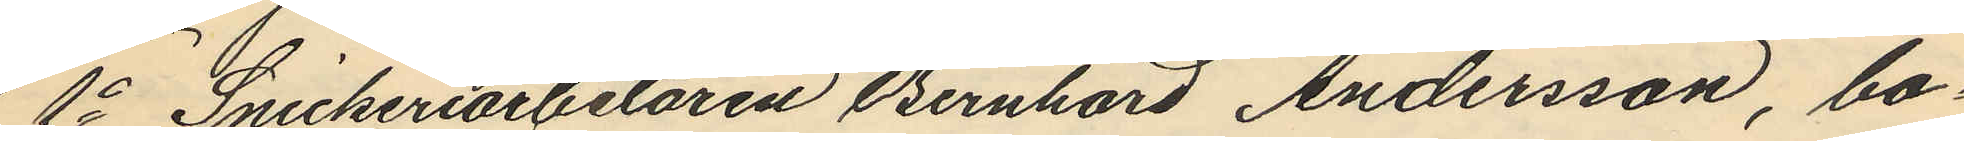1o Snickeriarbetaren Bernhard Andersson, bo¬
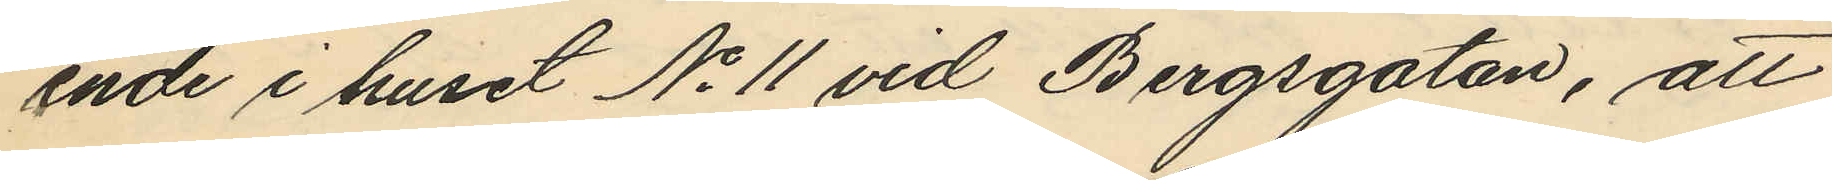ende i huset No 11 vid Bergsgatan, att
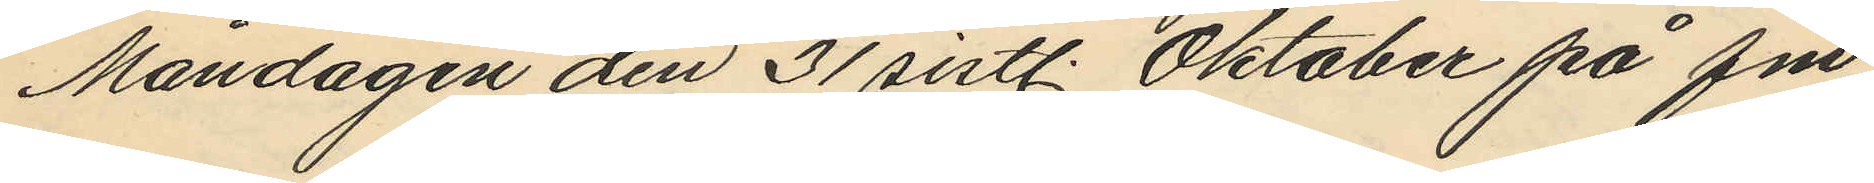Måndagen den 31 sistl. Oktober på fm.
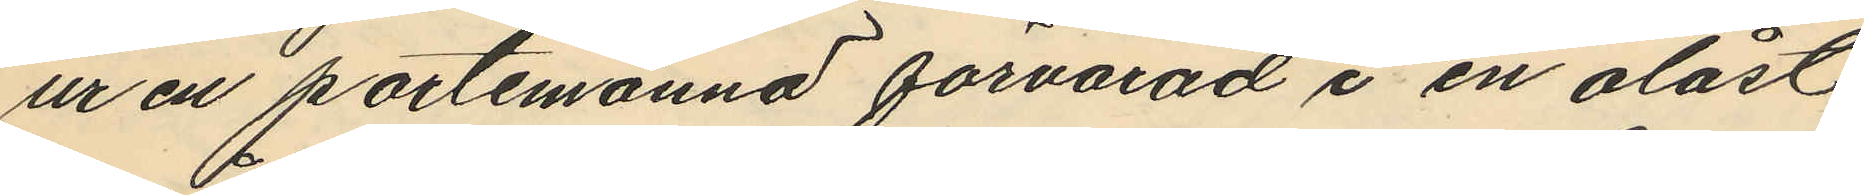ur en portemonnä förvarad i en olåst
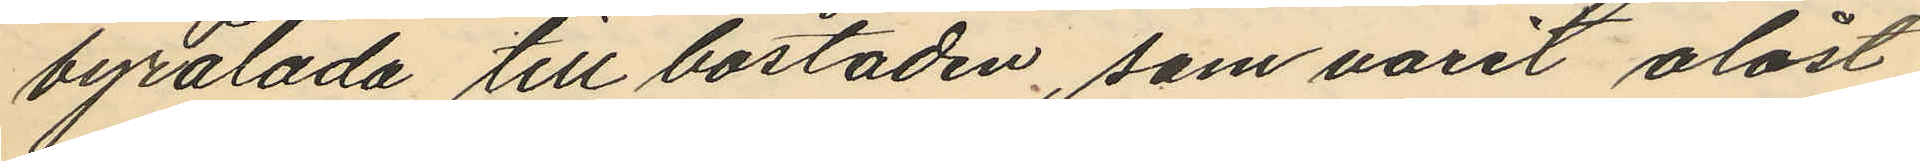byrålåda till bostaden, som varit olåst
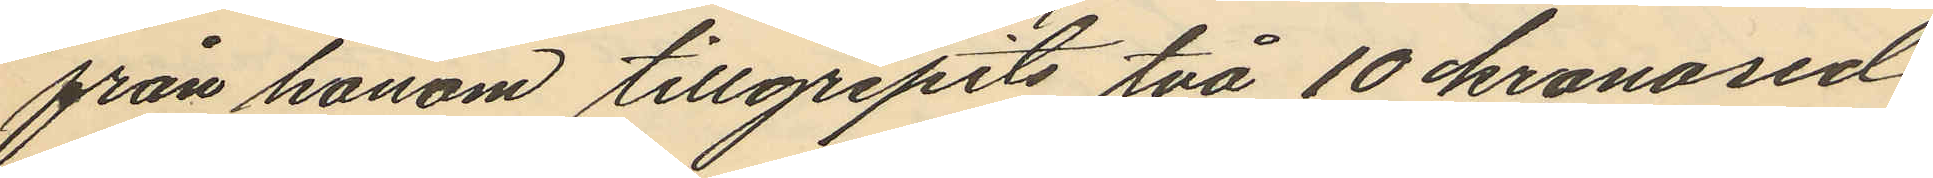från honom tillgripits två 10 kronosed¬
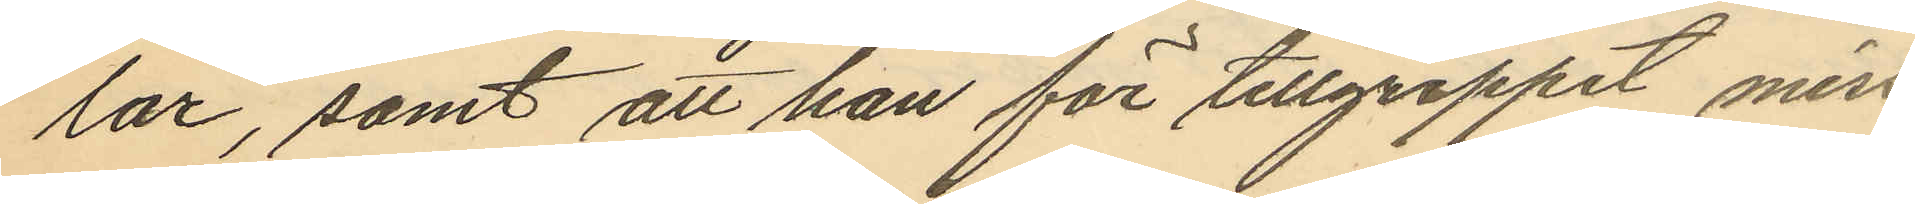lar, samt att han för tillgreppet miss¬
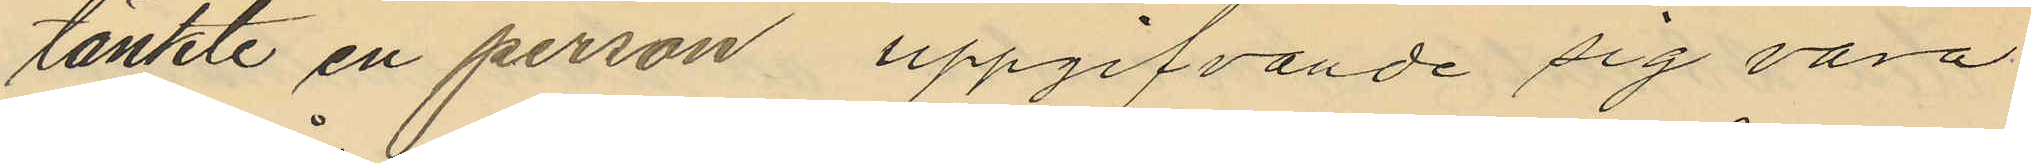tänkte en person uppgifvande sig vara
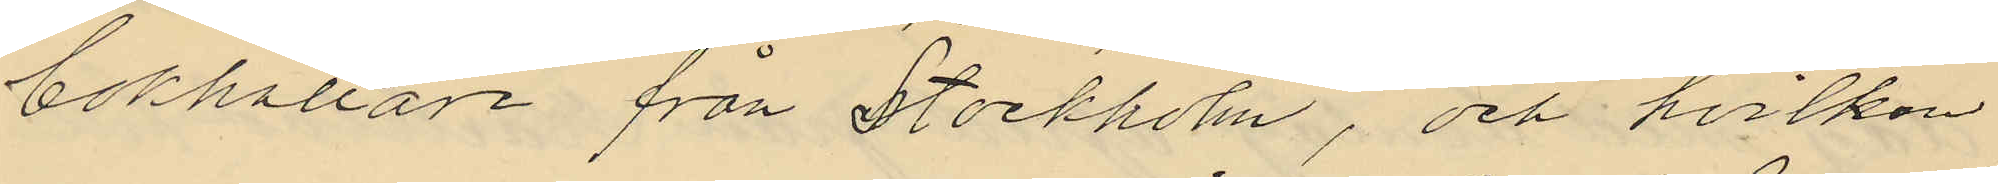bokhållare från Stockholm, och hvilken
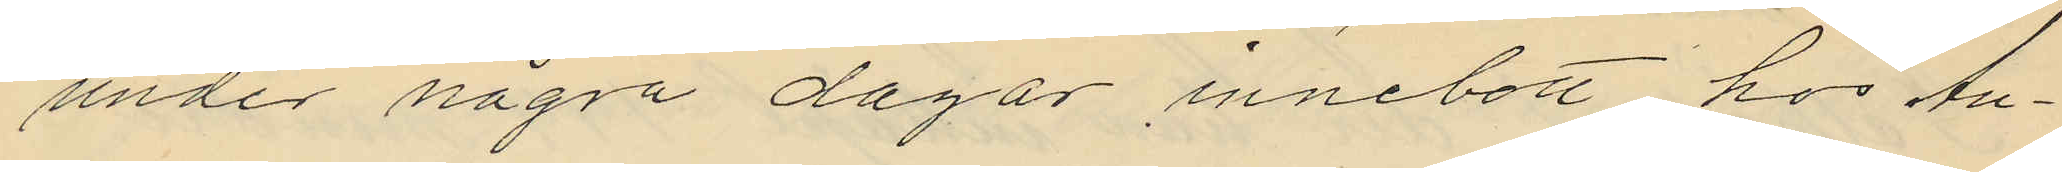under några dagar innebott hos An¬
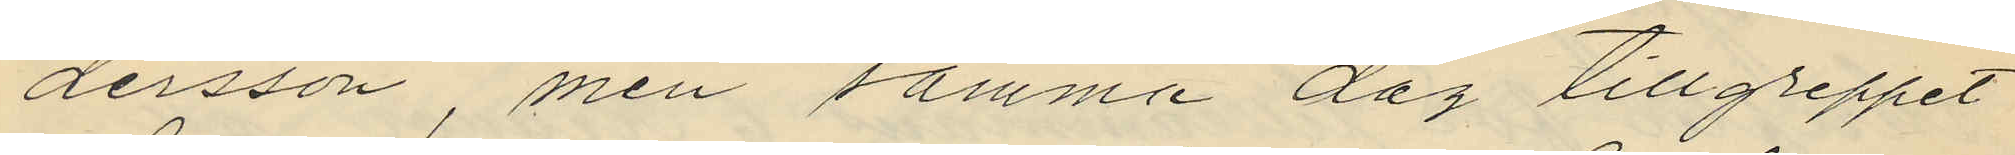dersson, men samma dag tillgreppet
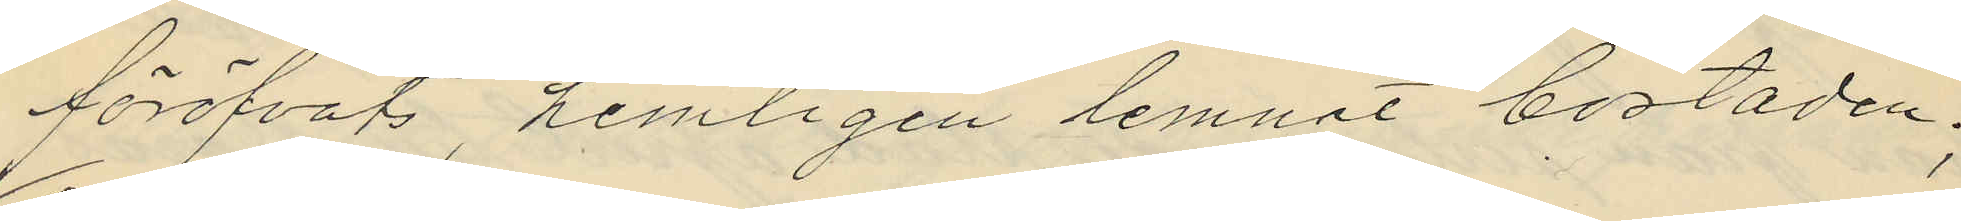föröfvats, hemligen lemnat bostaden;
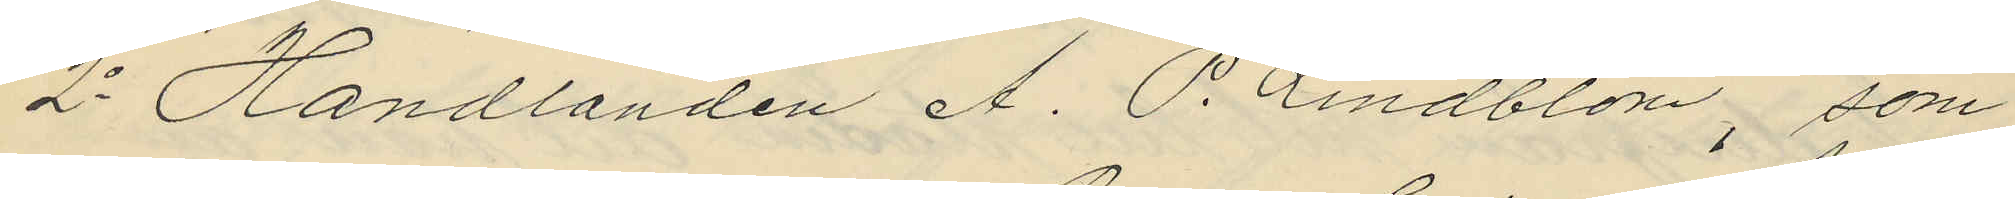2o Handlanden A. P. Lindblom, som
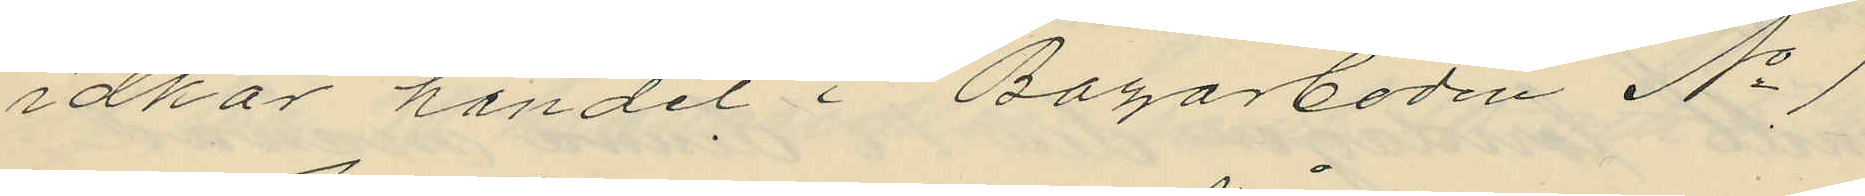idkar handel i Bagarboden No 1
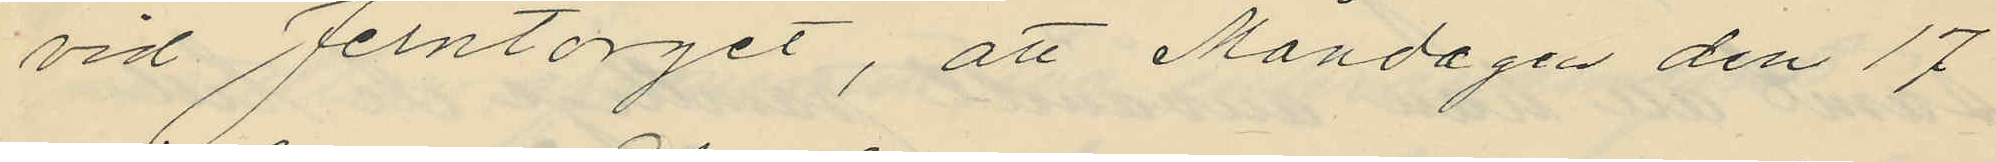vid Jerntorget, att Måndagen den 17
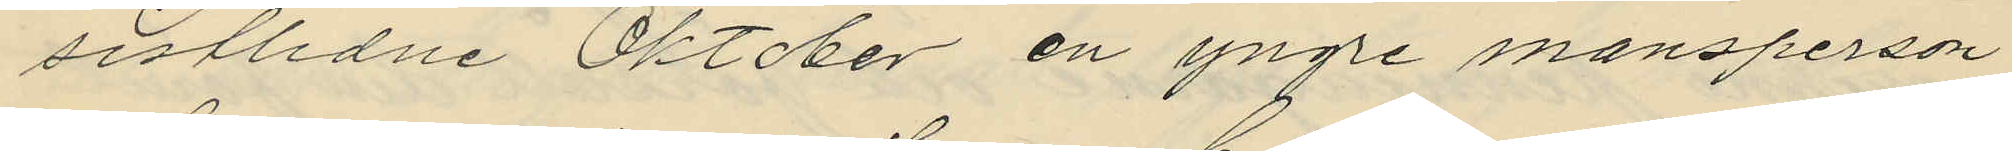sistlidne Oktober en yngre mansperson
